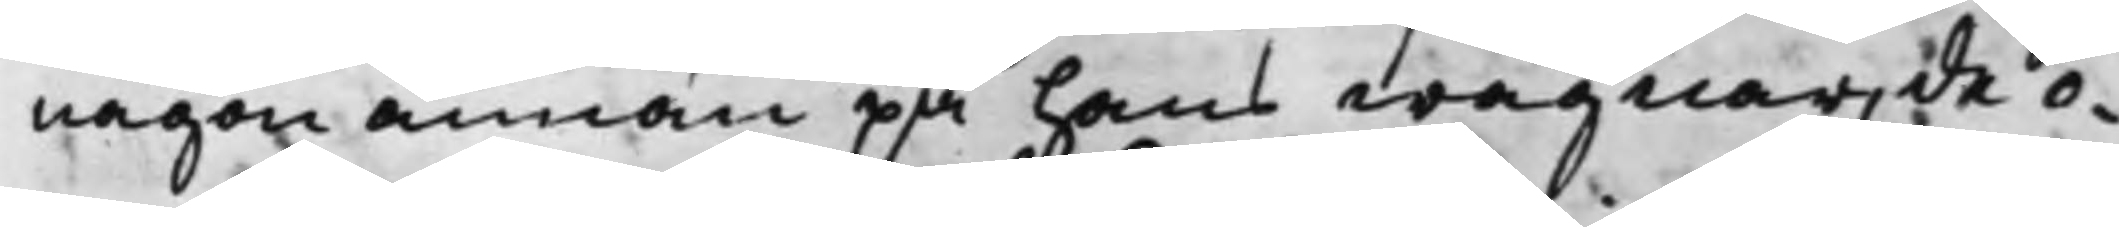någon annan på hans wägnar, de o¬
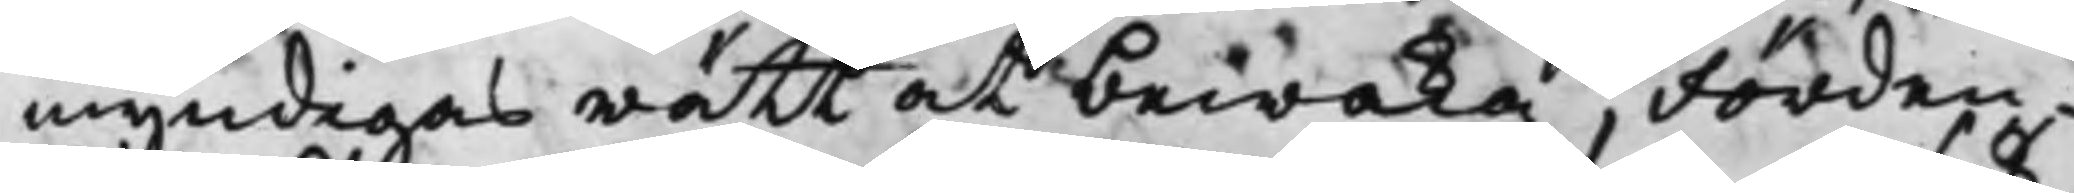myndigas rätt at bewaka; Förden¬
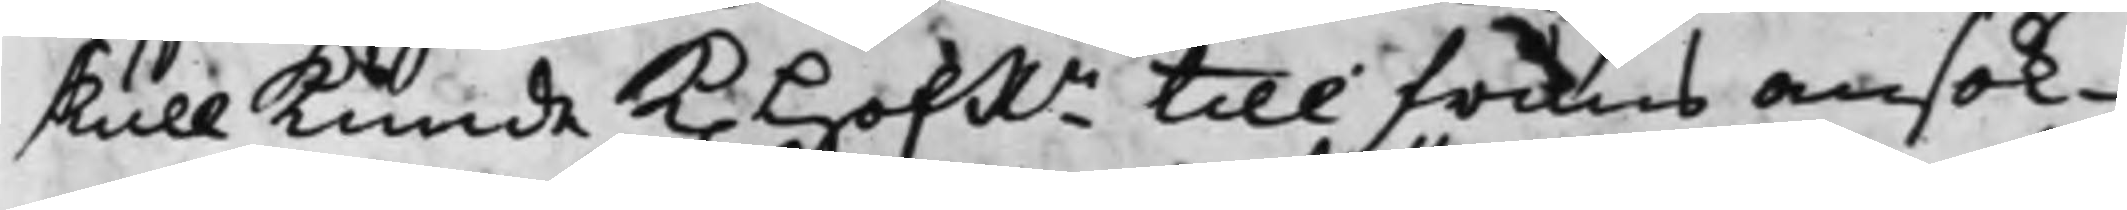skull kunde K. HofRn till fruns ansök¬
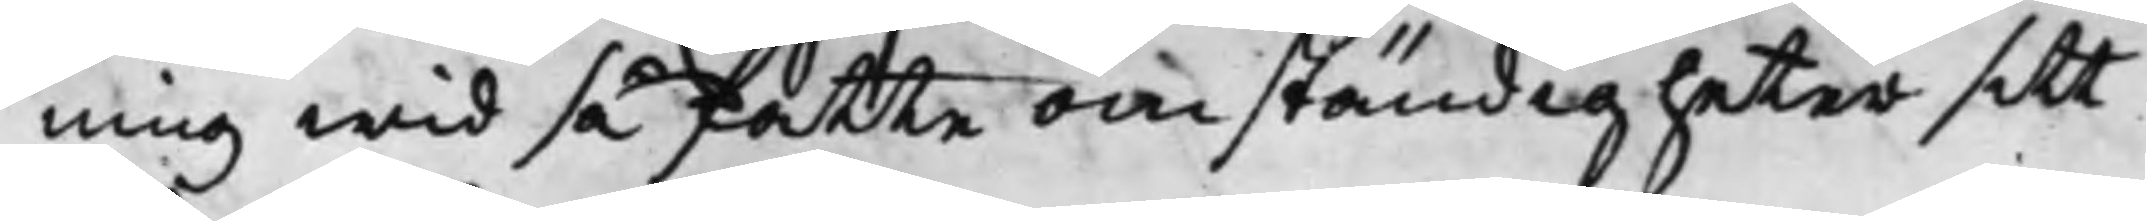ning wid så fatte omständigheter sitt
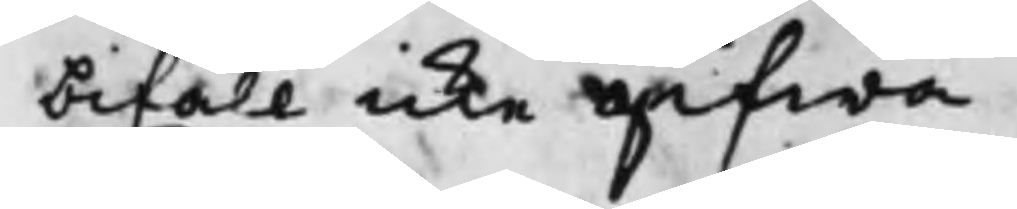bifall icke gifwa.
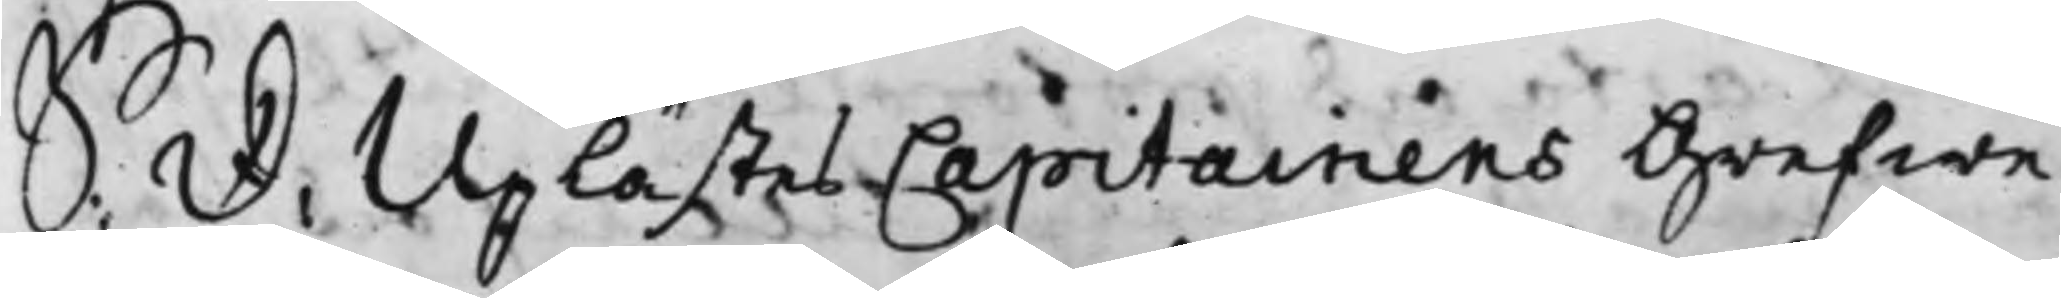S: D: Uplästes Capitainens Grefwe
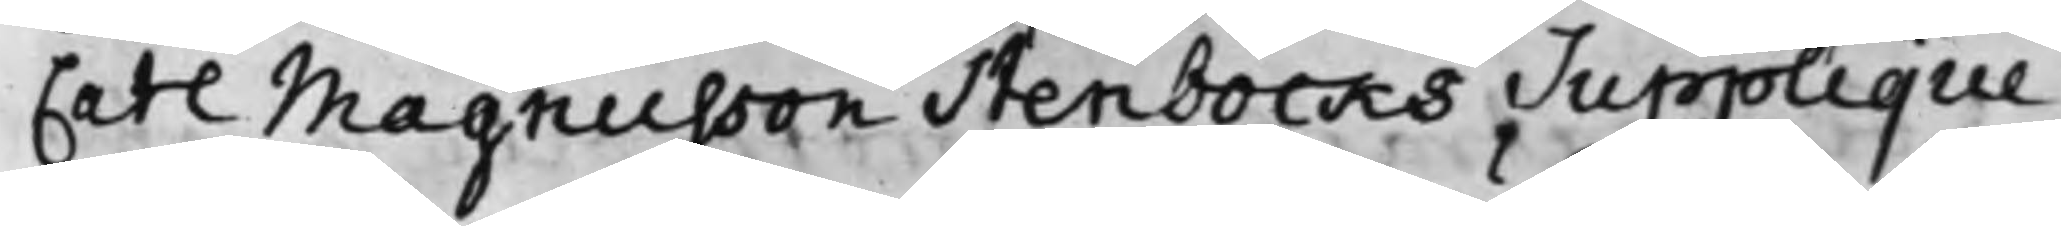Carl Magnusson Stenbocks Supplique,
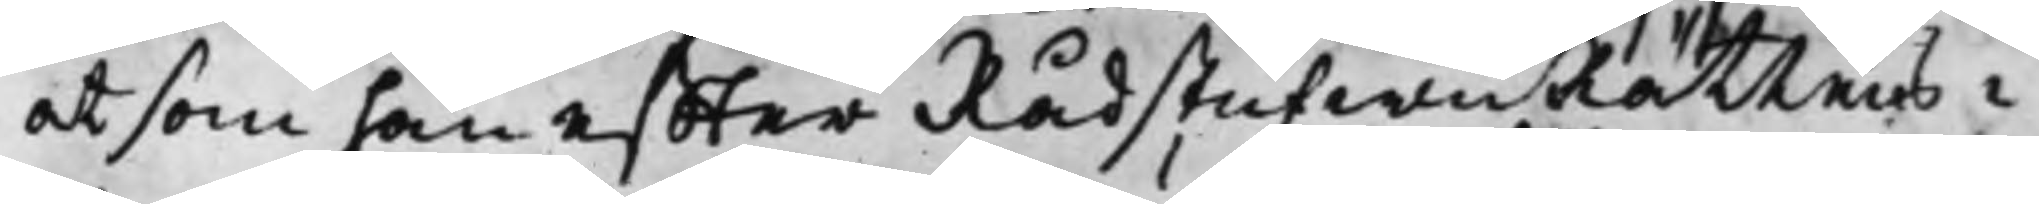at som han effter RådstufwuRättens i
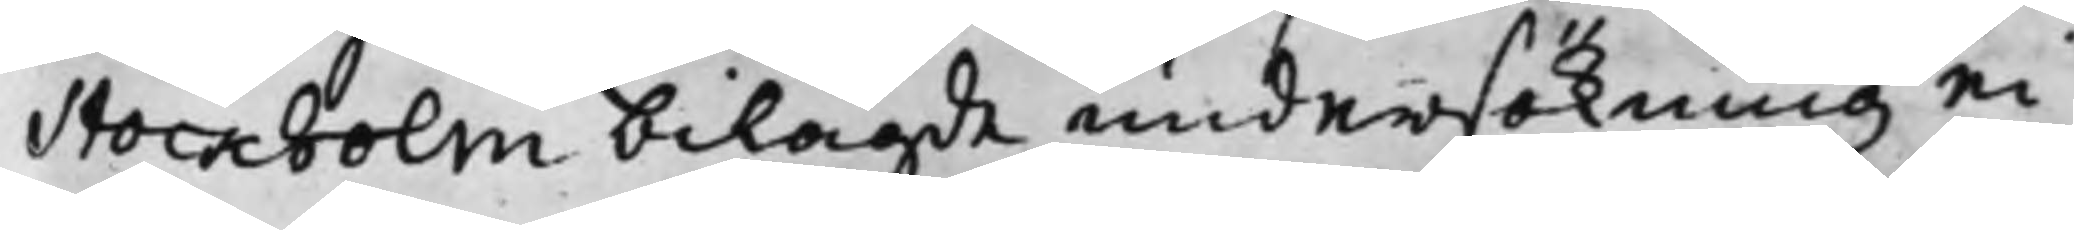Stockholm bilagde undersökning ei
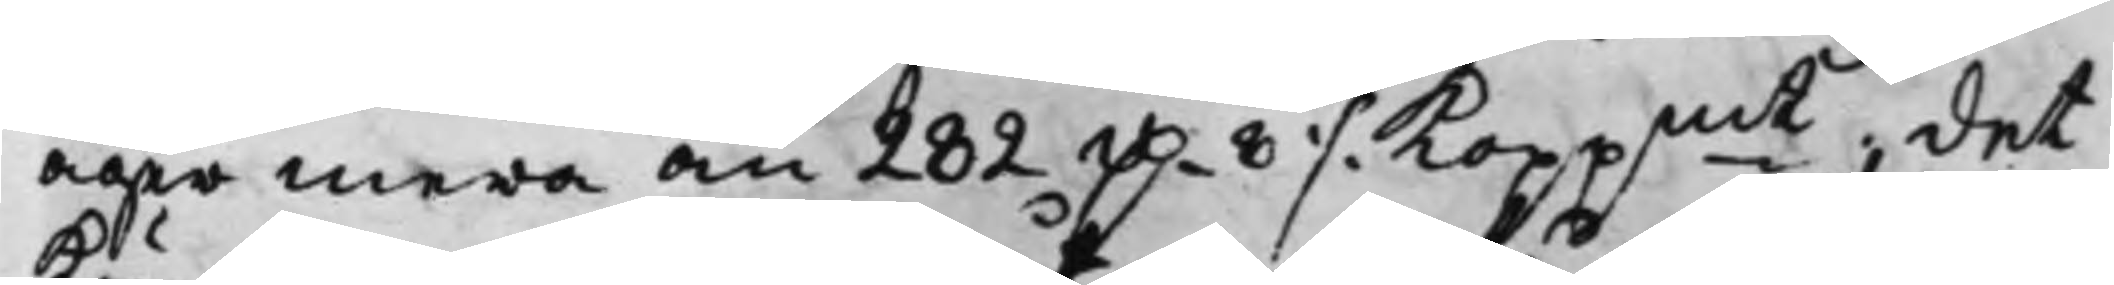äger mera än 282 D.r 8 ./. Koppmt; det
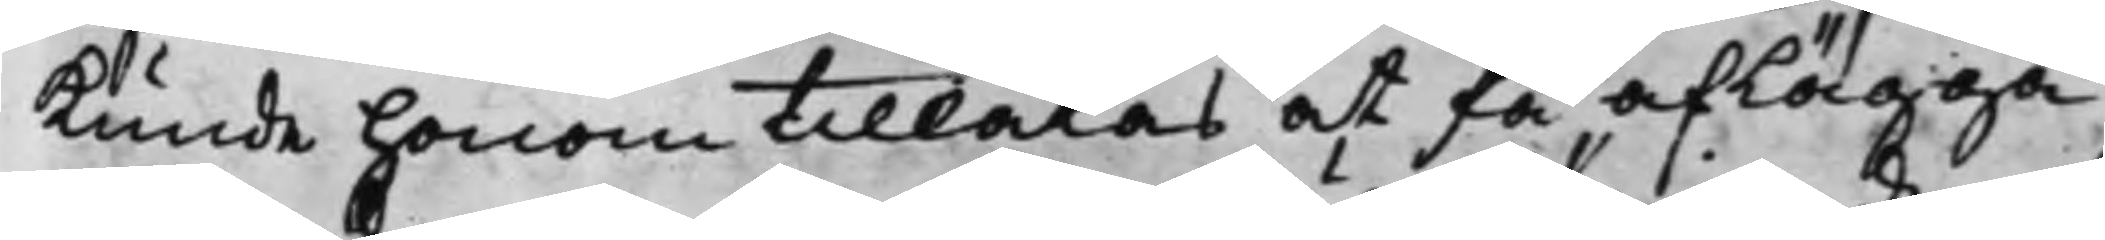kunde honom tillåtas at få aflägga
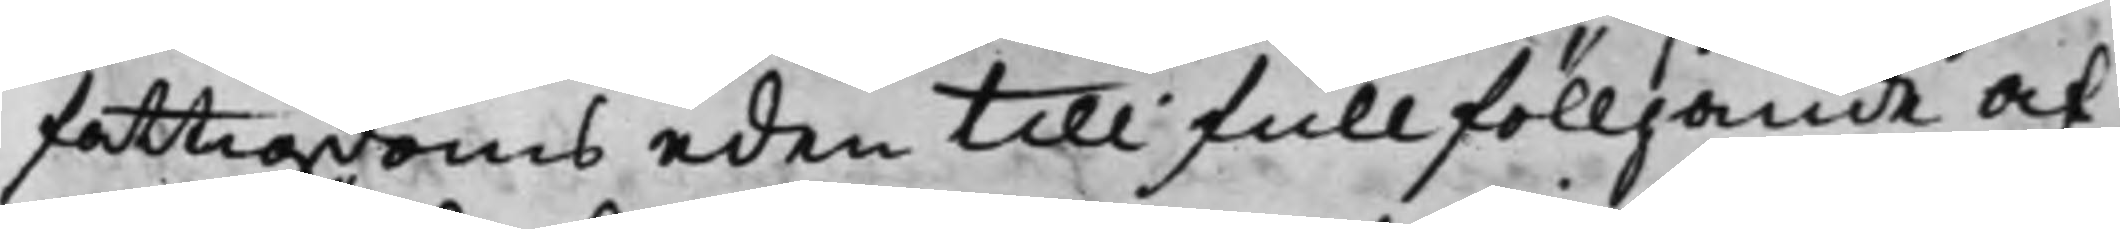fattigdoms eden till fullfölljande af
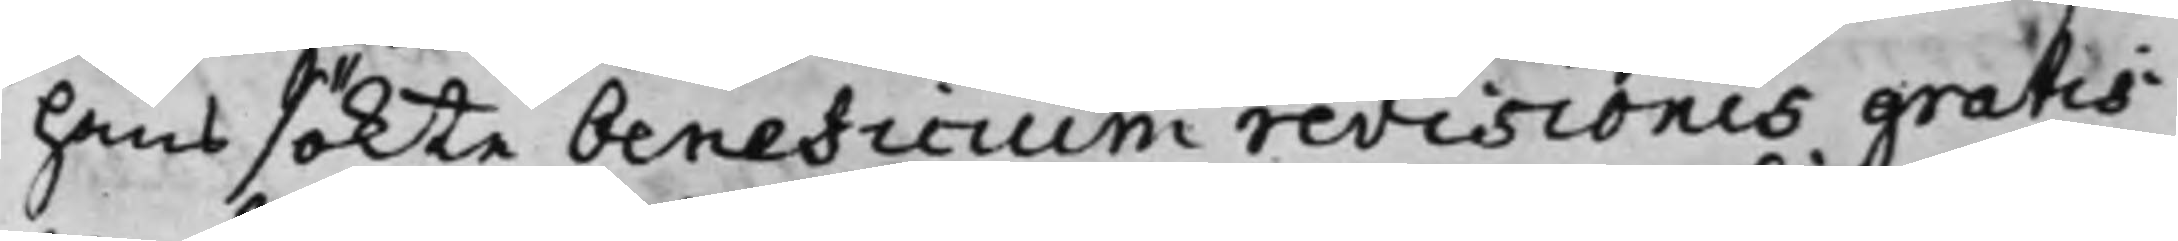hans sökte beneficium revisionis gratis
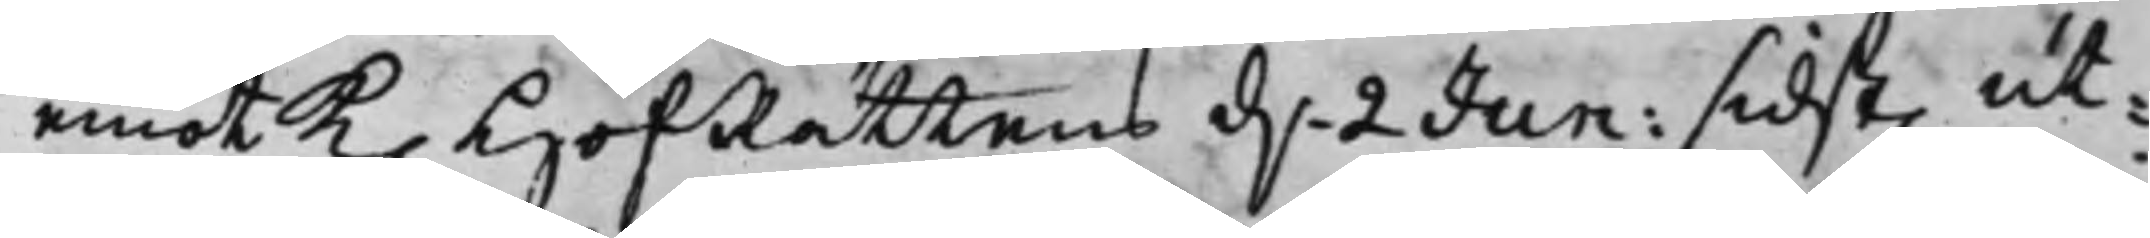emot K. HofRättens d.n 2 Jun: sidst. ut¬
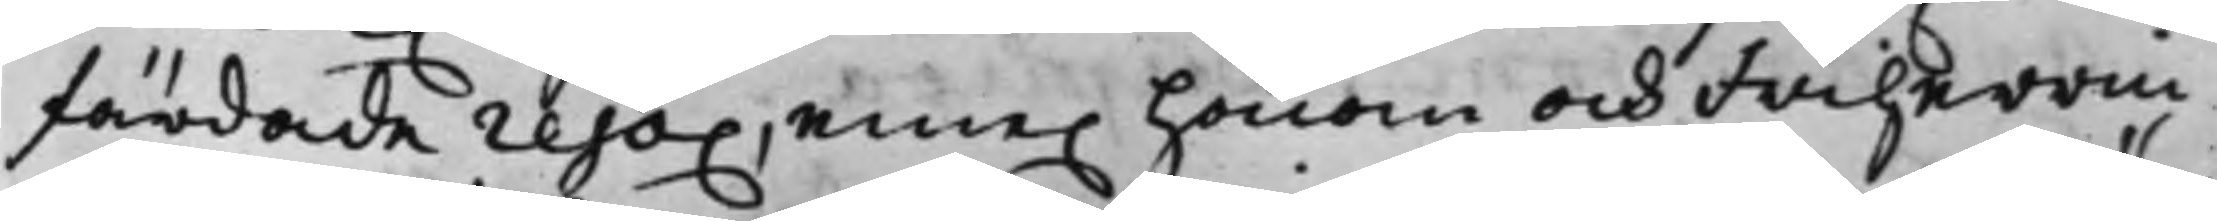färdade reso. eme. honom och Friherrin¬
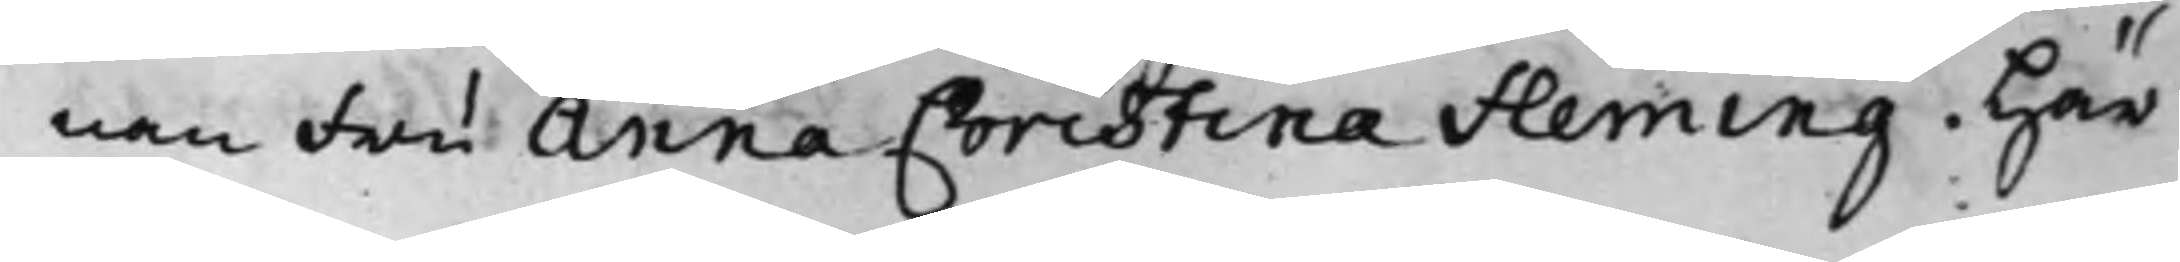nan Fru Anna Christina Fleming. Här
